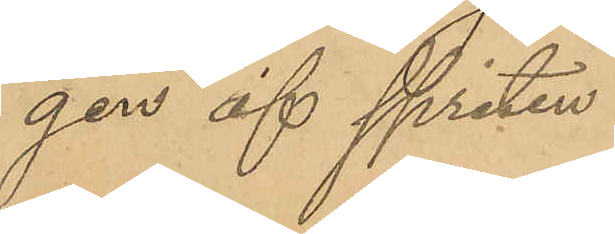gen af spriten.
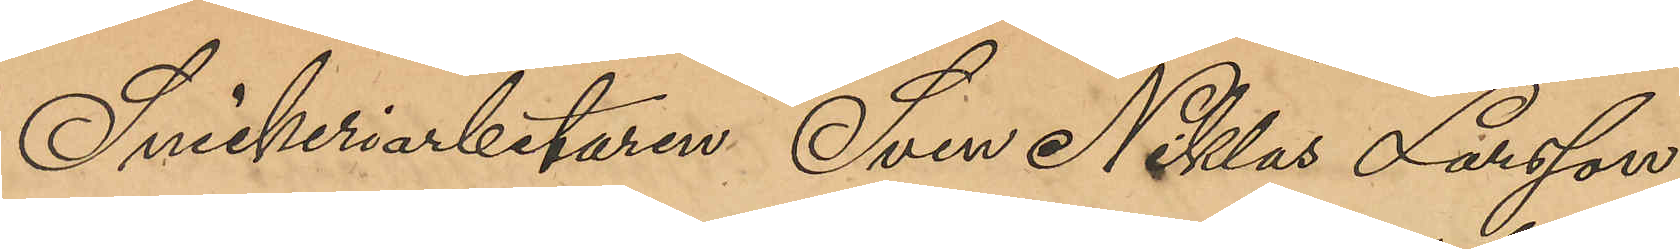Snickeriarbetaren Sven Niklas Larsson,
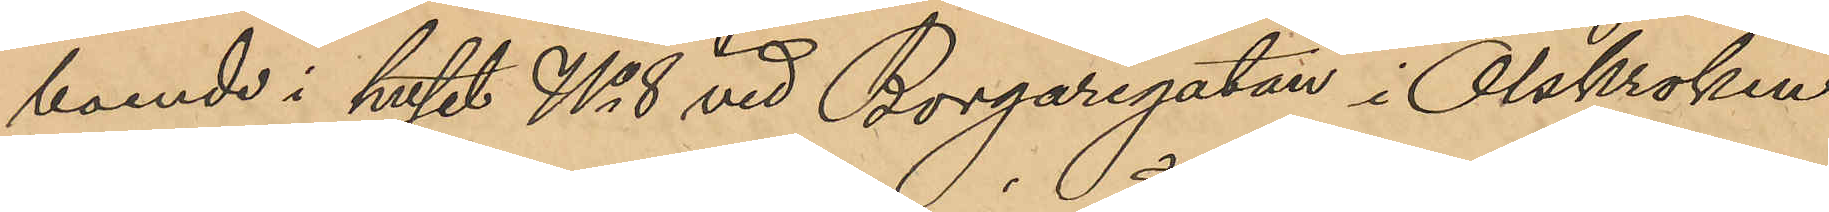boende i huset No 8 vid Borgaregatan i Olskroken
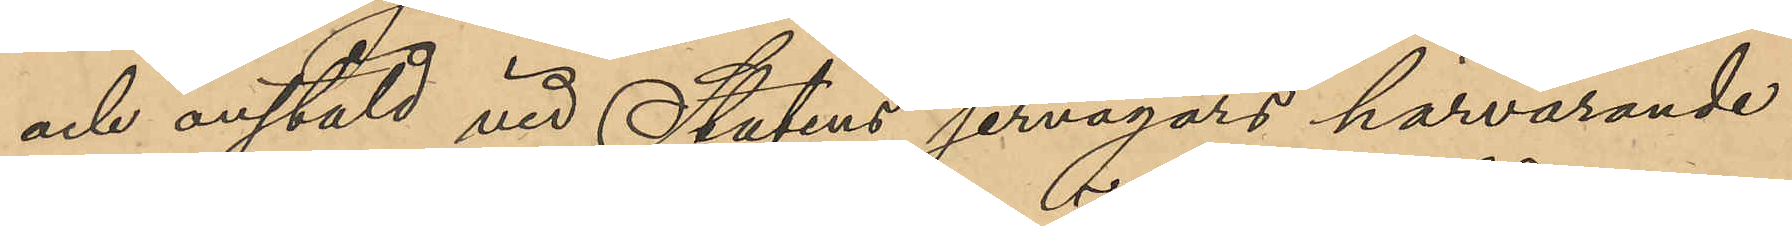och anstäld vid Statens jernvägars härvarande
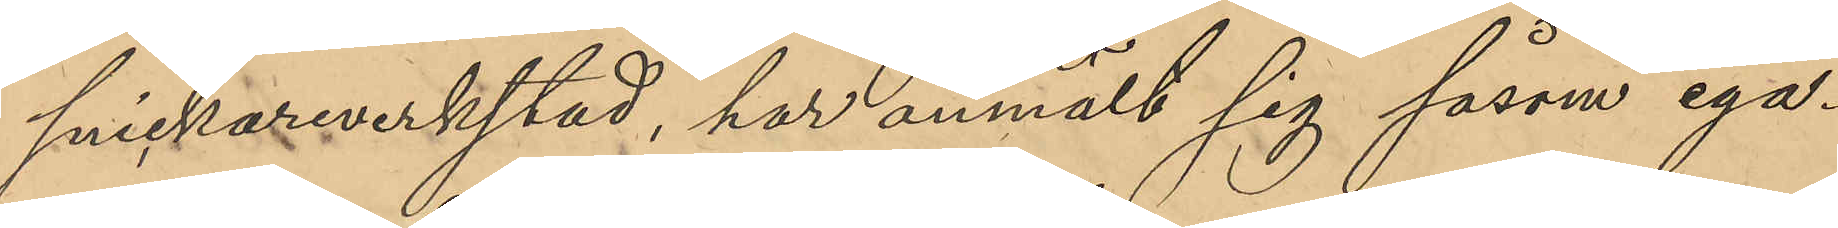snickareverkstad, har anmält sig såsom ega¬
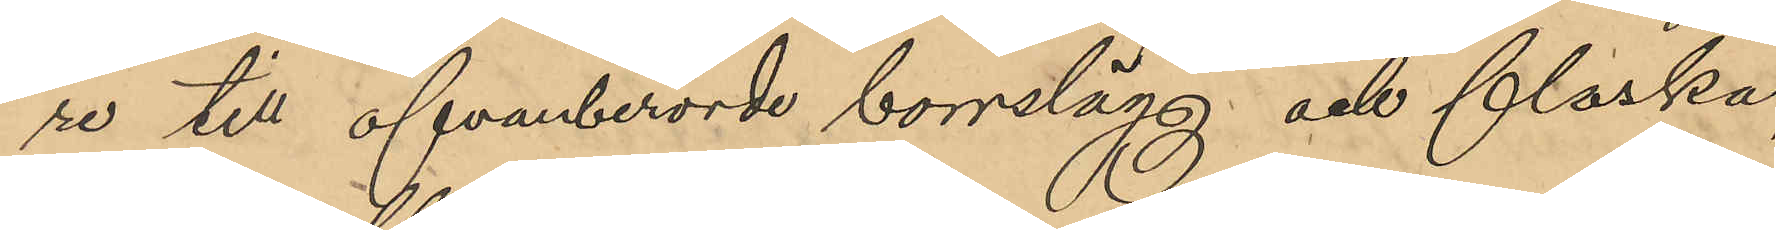re till ofvanberörde borrslägg och flaska
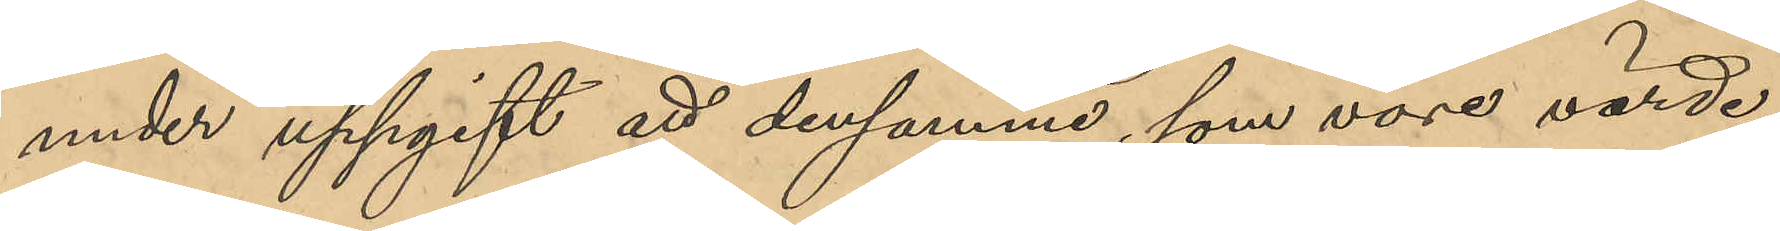under uppgift att densamma, som vore värde,
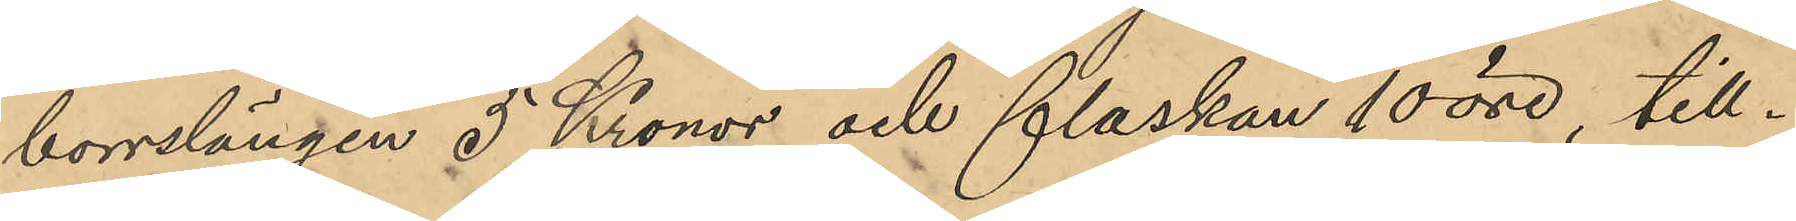borrslängen 5 Kronor och flaskan 10 öre, till¬
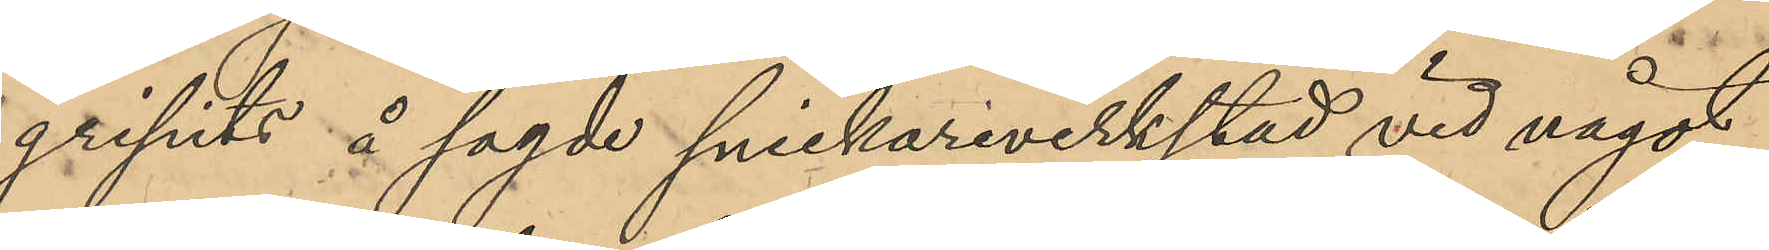gripits å sagde snickareverkstad vid något
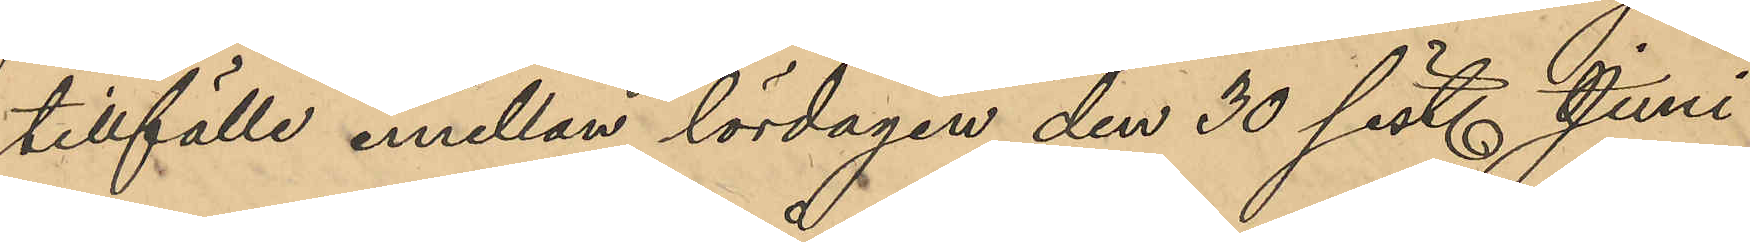tillfälle emellan lördagen den 30 sist. Juni
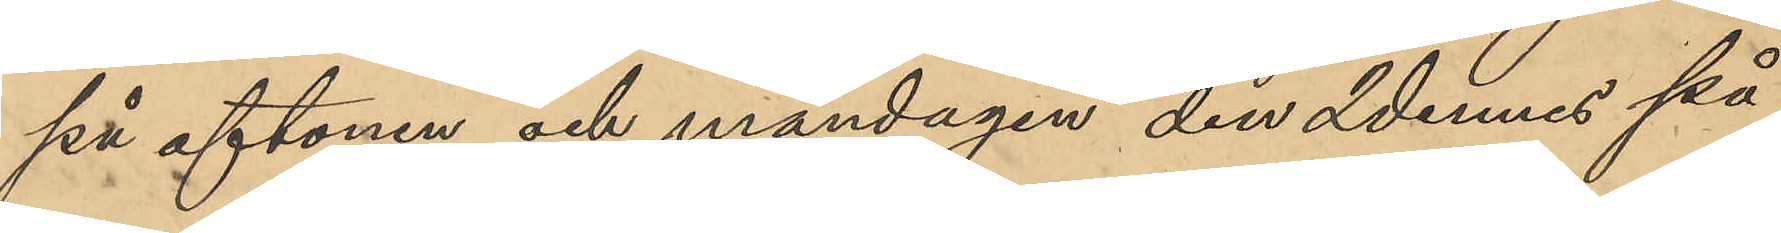på aftonen och måndagen den 2 dennes på
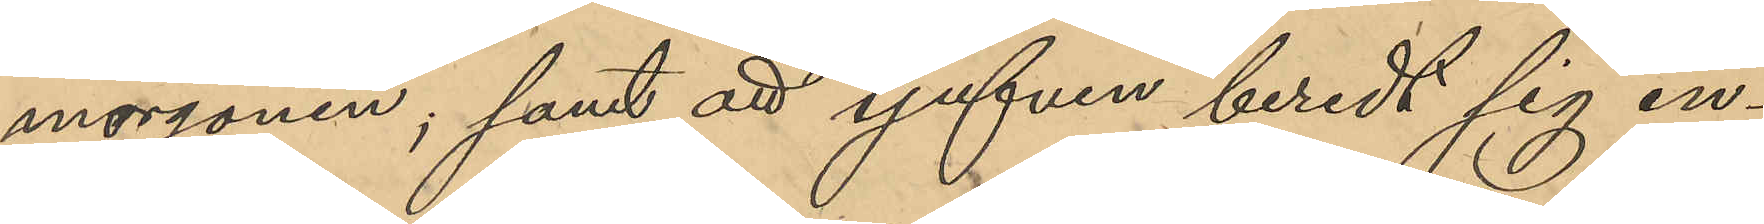morgonen; samt att tjufven beredt sig in¬
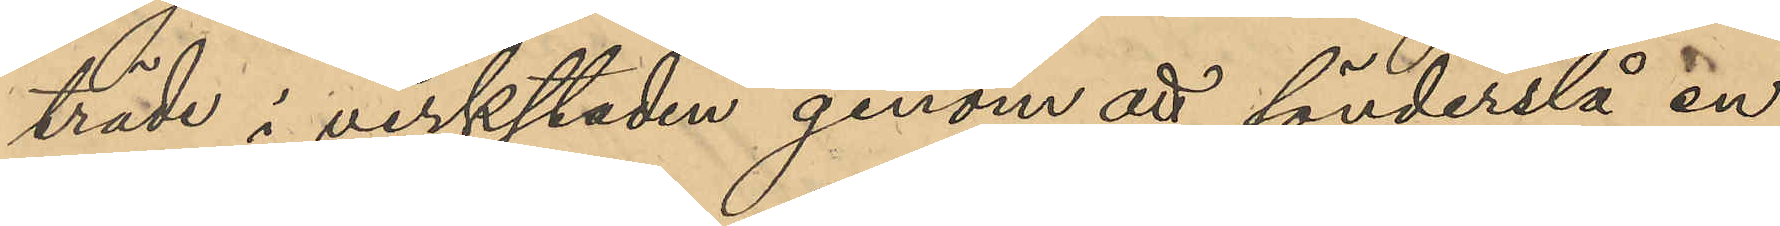träde i verkstaden genom att sönderslå en
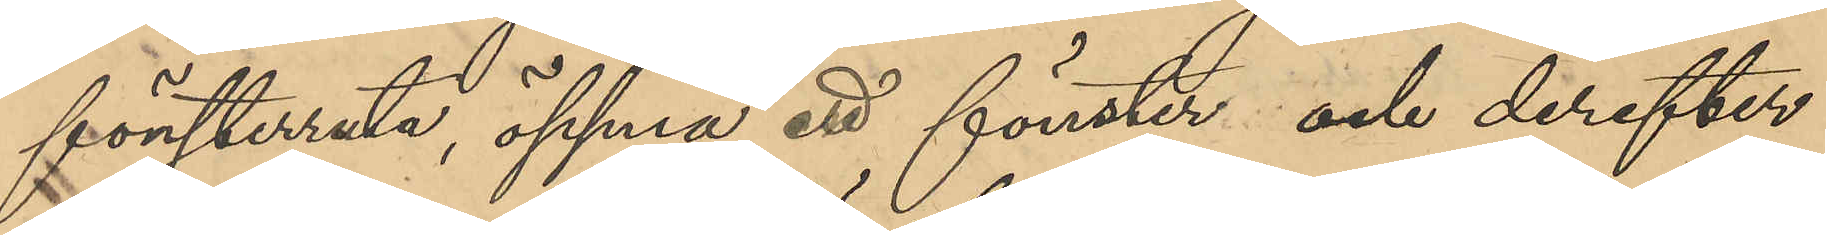fönsterruta, öppna ett fönster och derefter
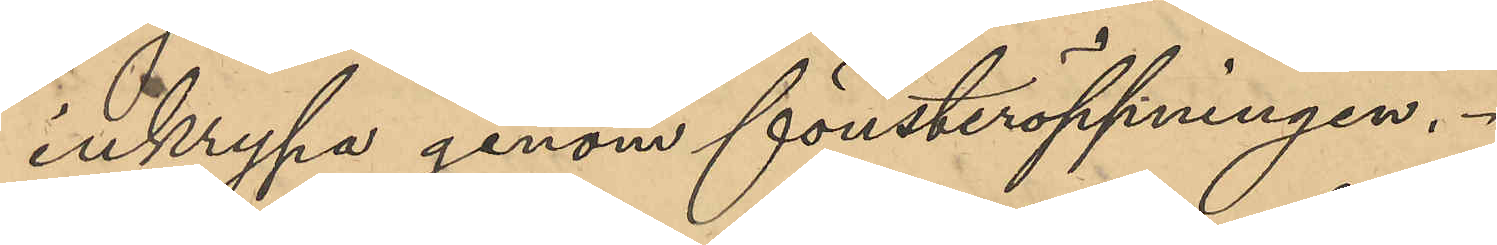inkrypa genom fönsteröppningen.
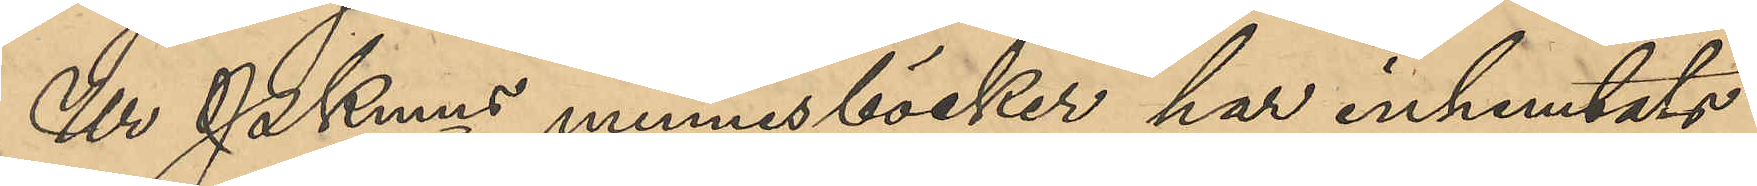Ur PKmns  minnesböcker har inhemtats
